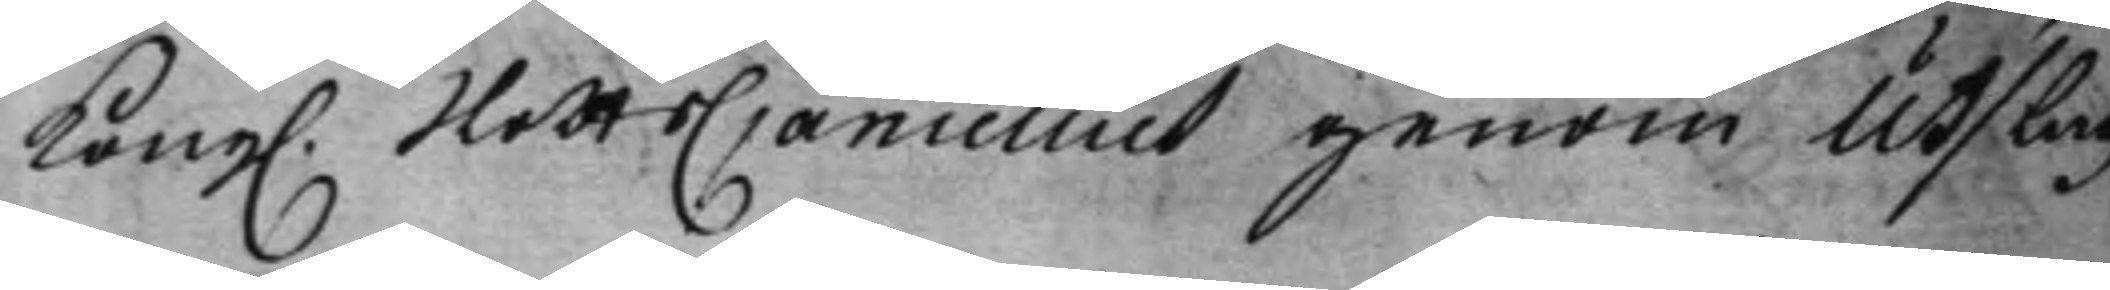Kong. SlotsCancelliet genom Utslag
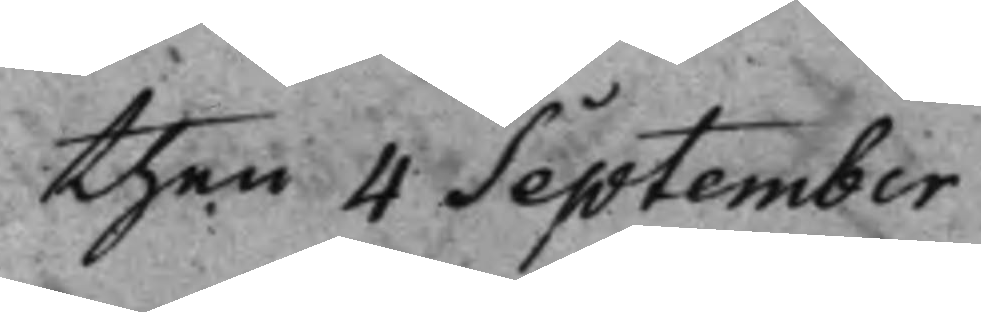then 4 September
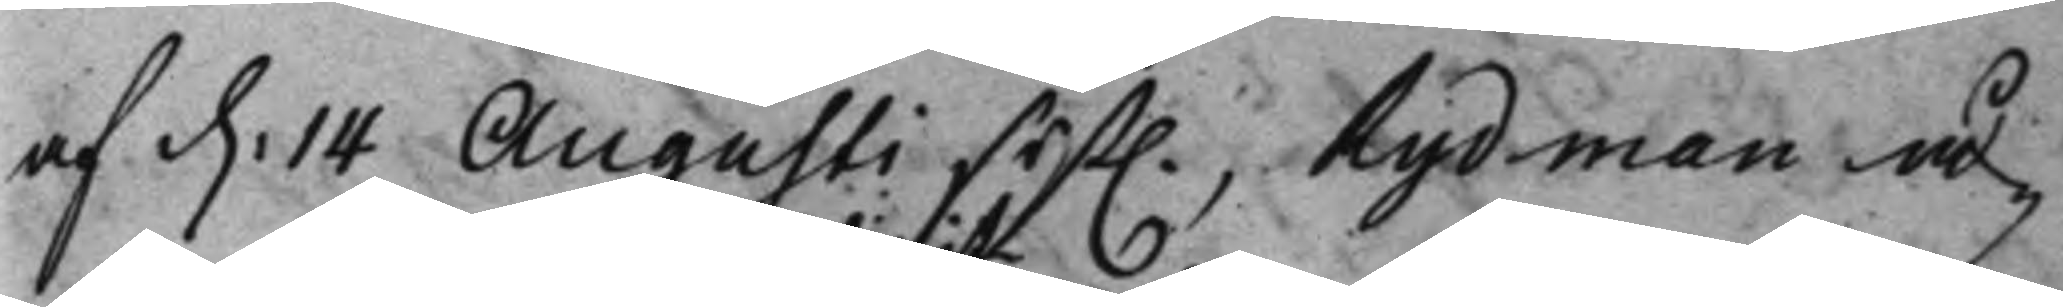af d. 14 Augusti sist. Rydman å¬
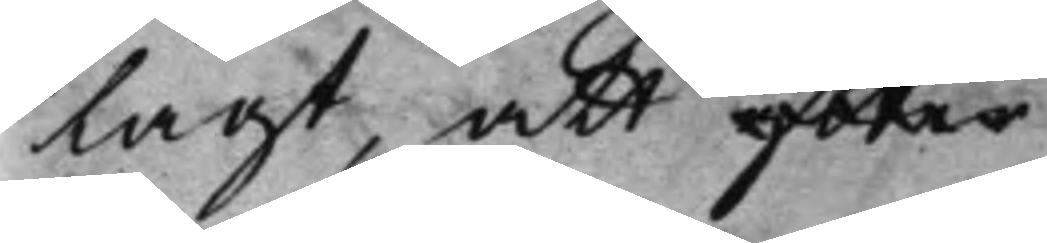lagt, att efter
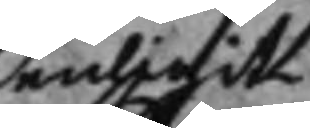enligit
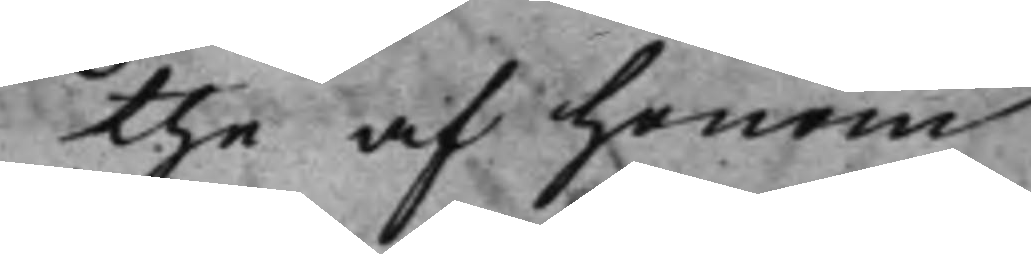the af honom
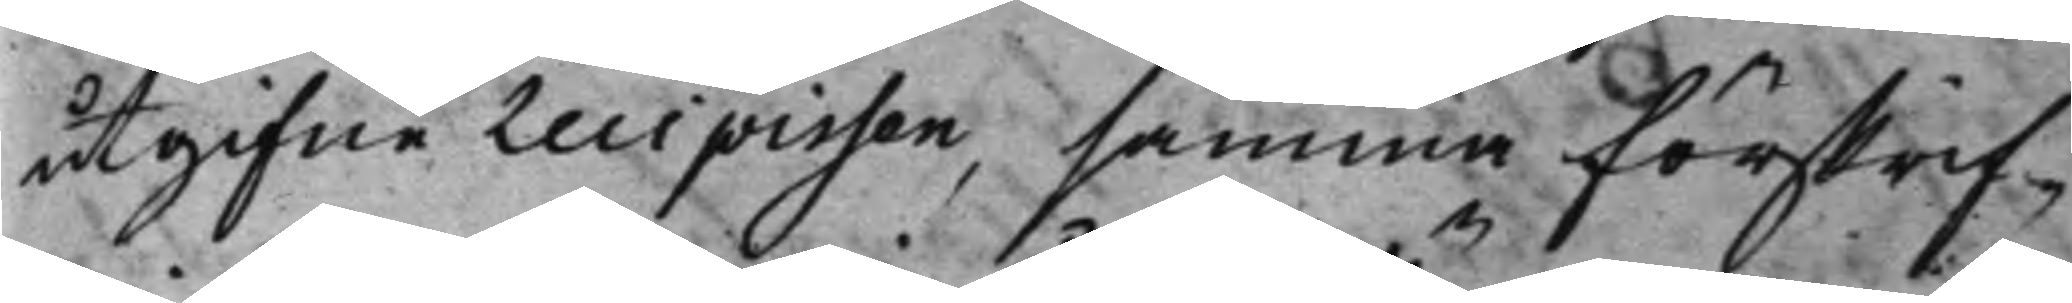utgifne Recipissen, samma förskrif¬
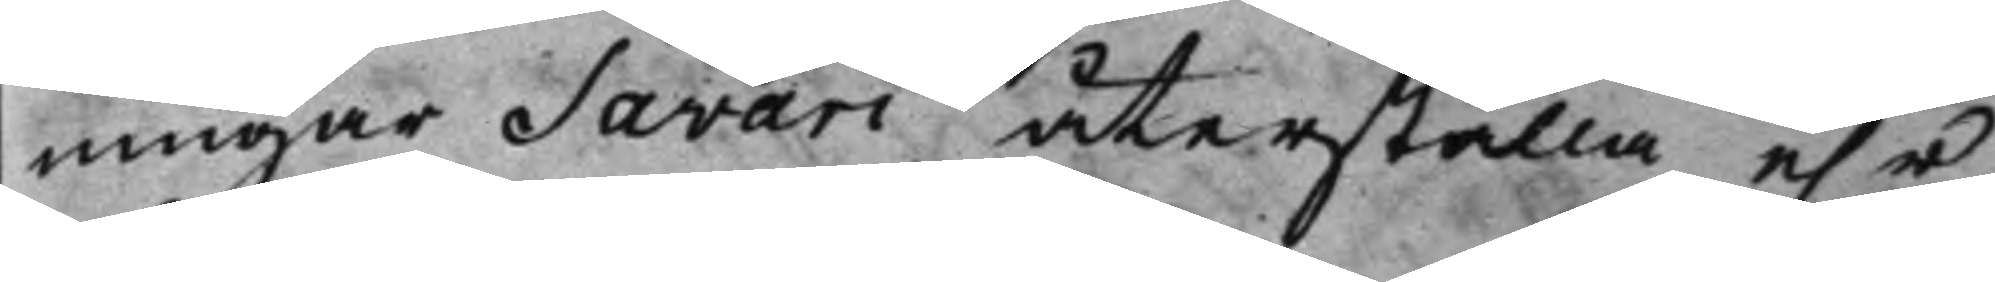ningar Savari återställa, e.r
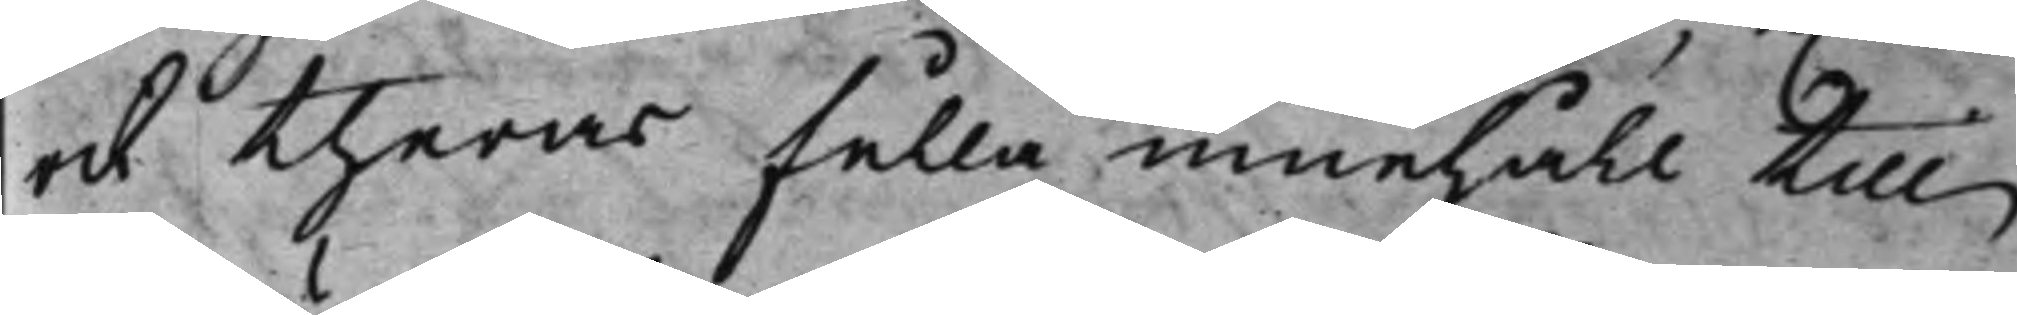ock theras fulla innehåll till
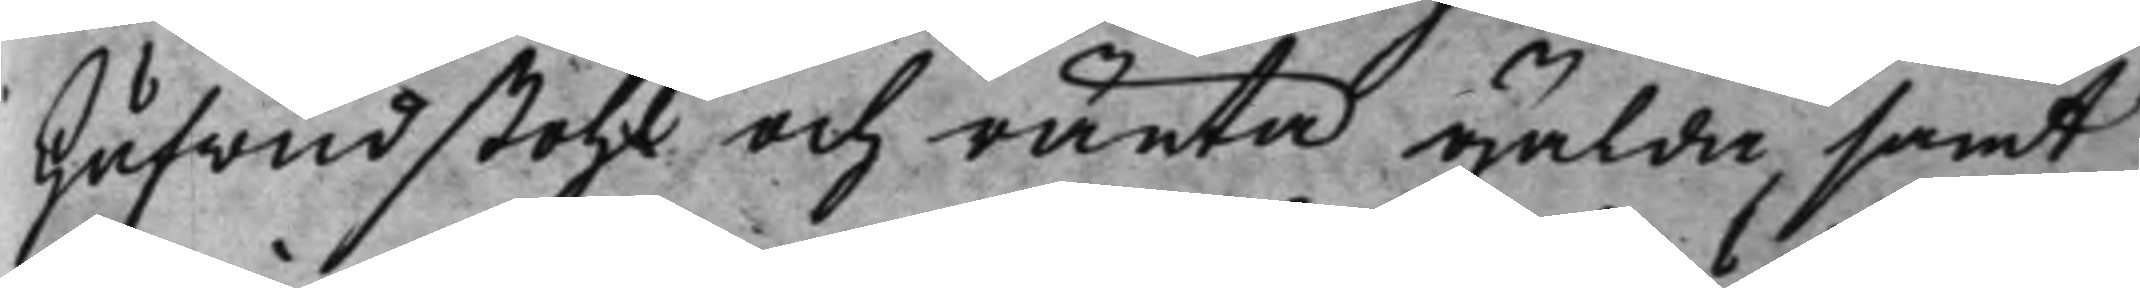Hufwudstohl och ränta gälda, samt
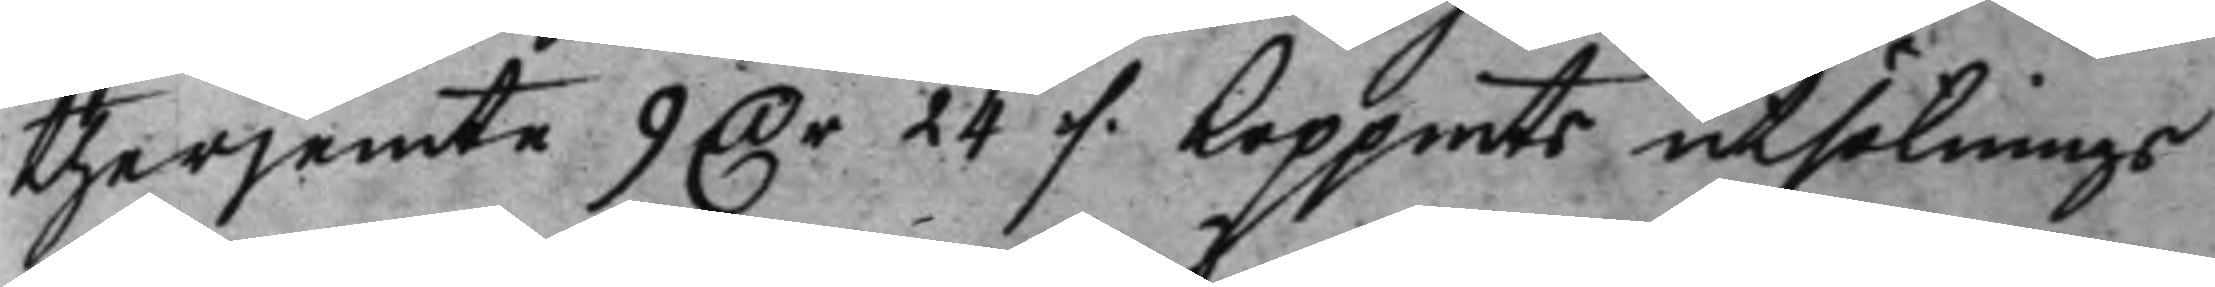therjemte 9 Dr 24 ./. koppmts utsöknings
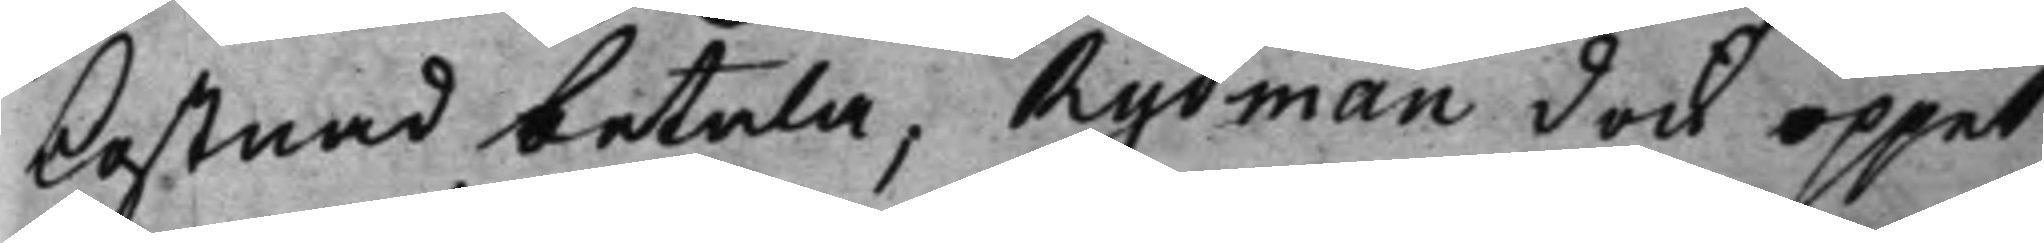kostnad betala, Rydman dock öppet
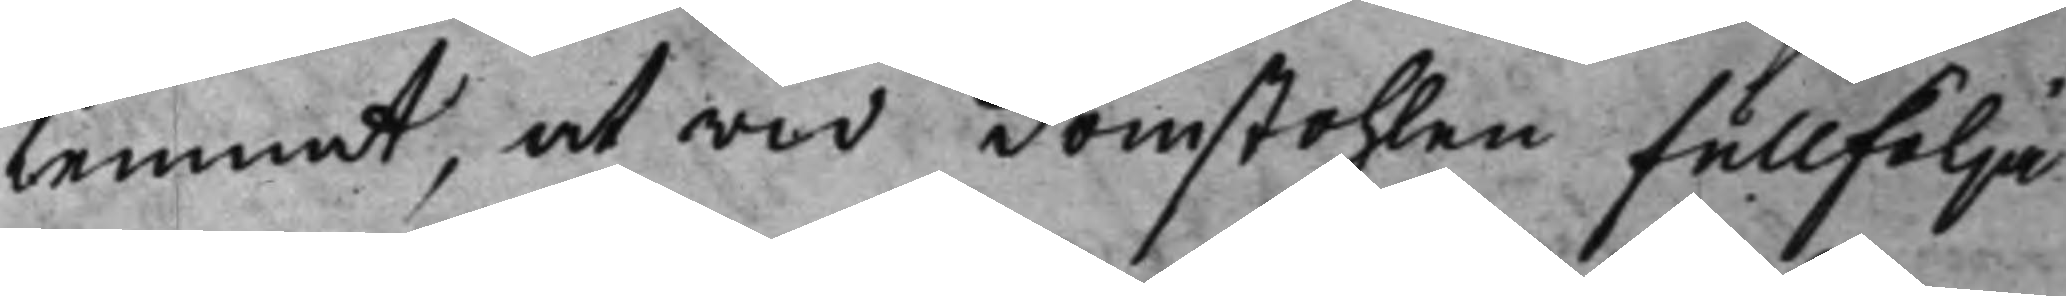lemnat, at wid domstohlen fullfölja
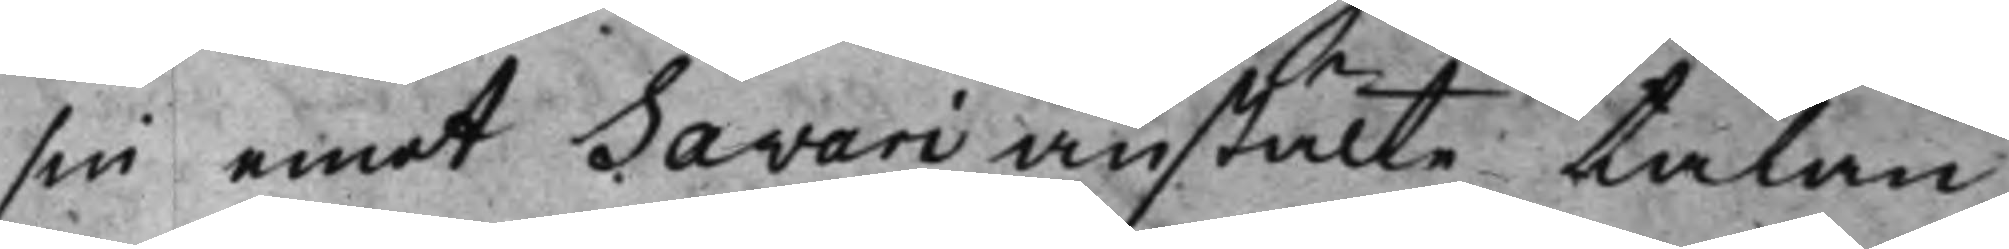sin emot Savari anstälte talan,
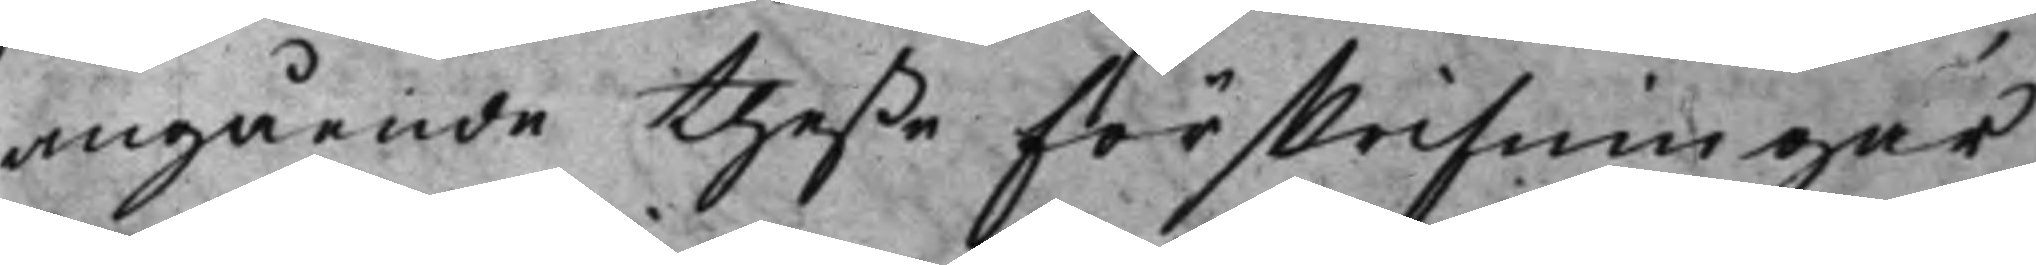angående theße förskrifningar,
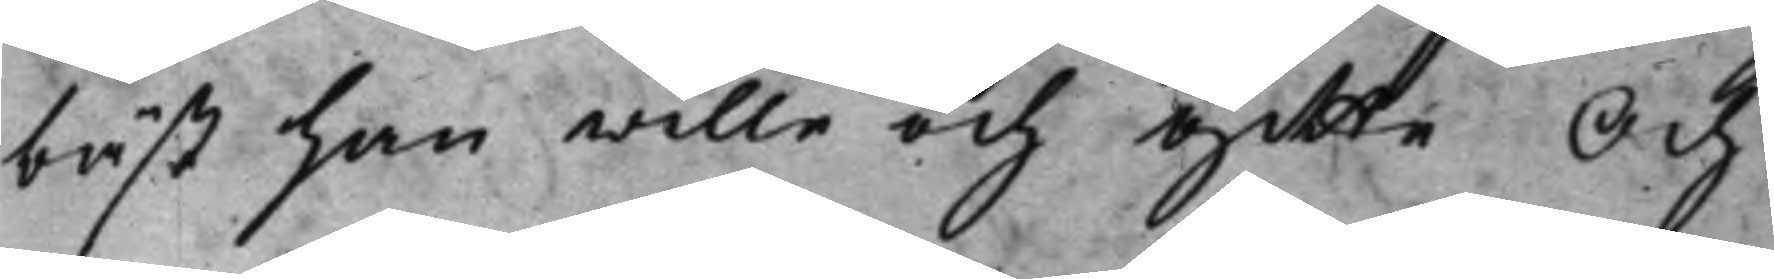bäst han wille och gitte Och
